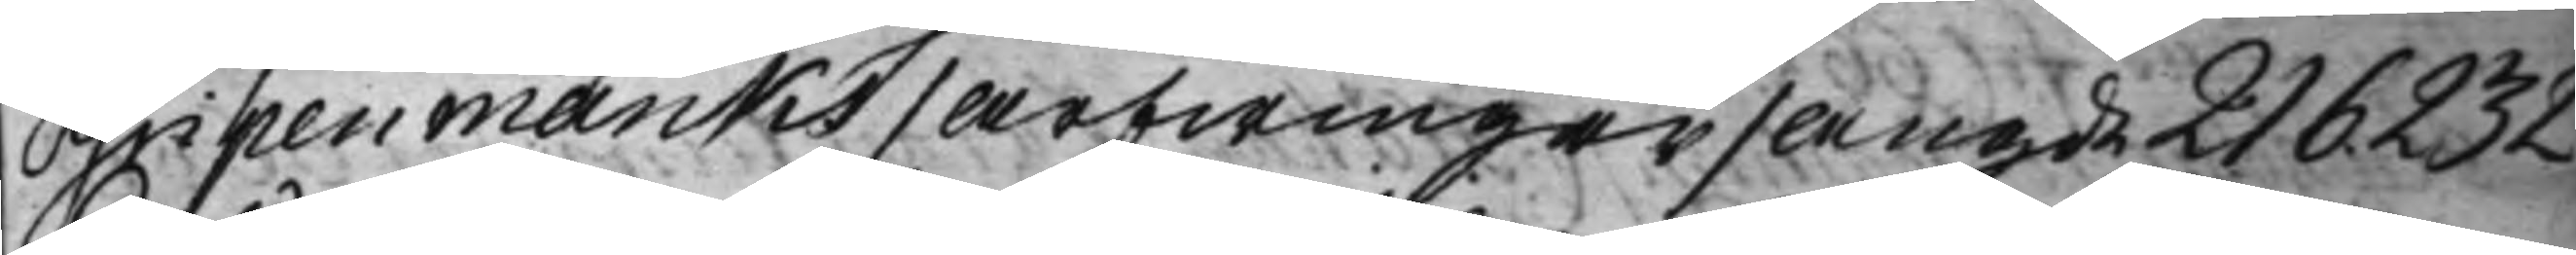Gripenmarcks  / Arfwingar / Angde 216. 232
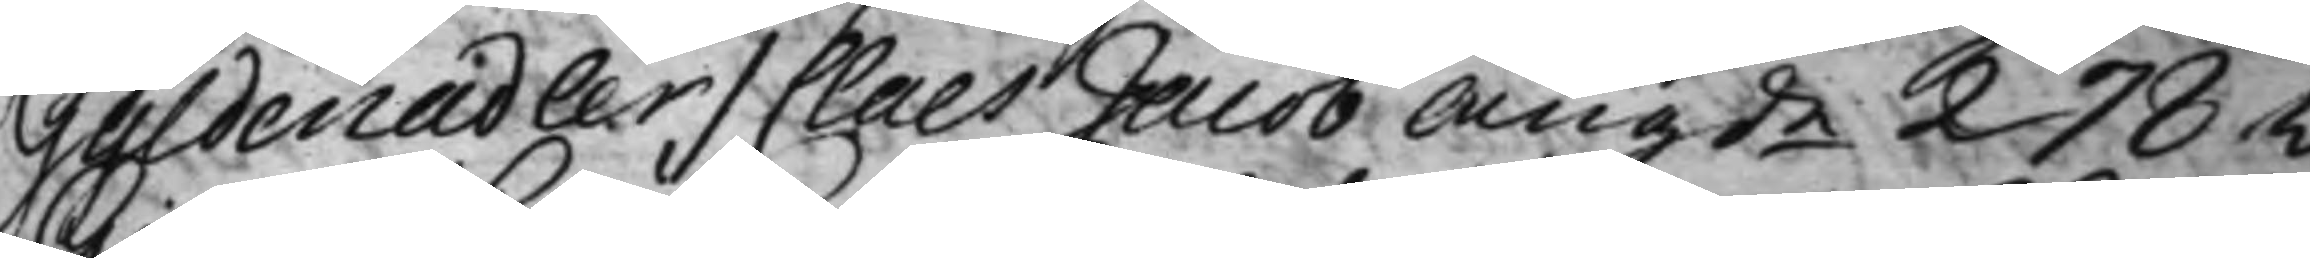Gyldenadler / Claes Jacob Angde 278v.
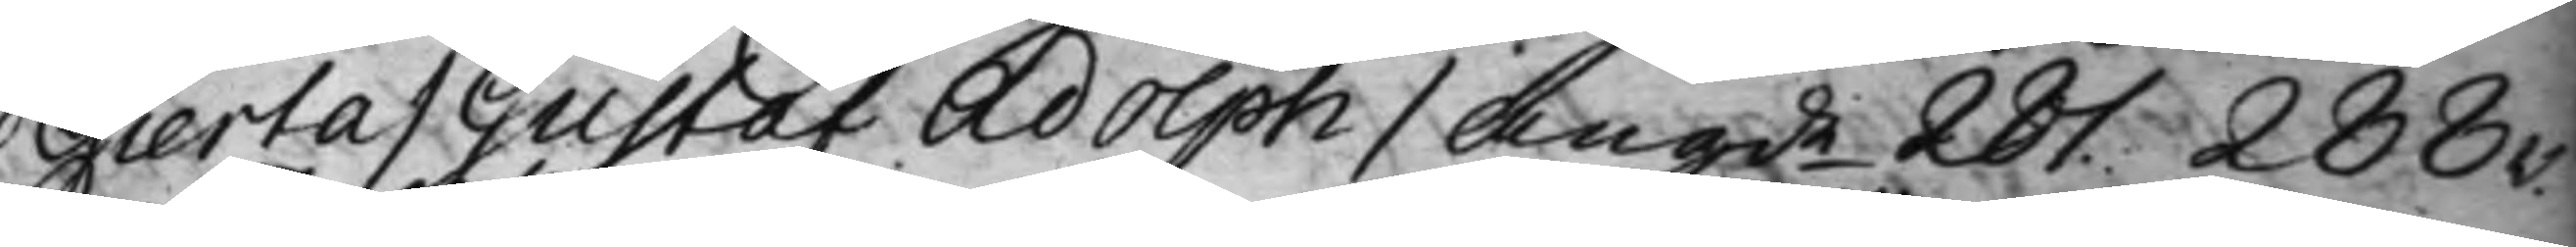Gierta / Gustaf Adolph / angde 281. 288v.
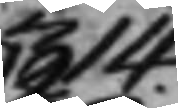314.
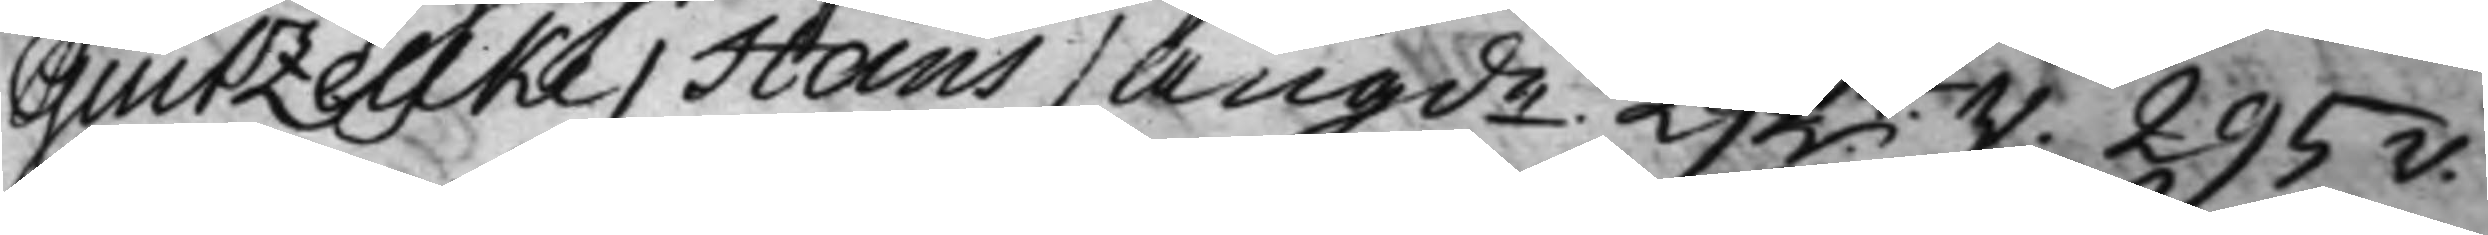Giutzellke / Hans / Angde. 292v.  295v.
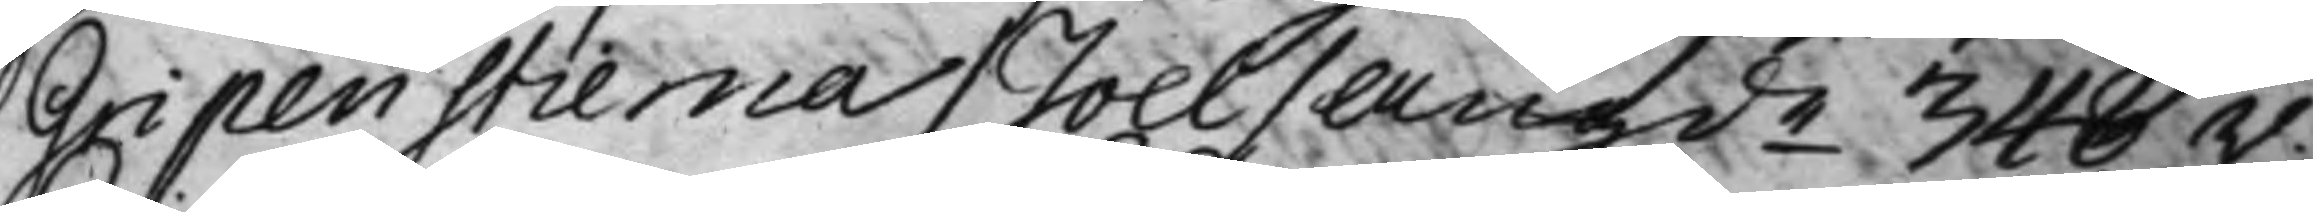Gripenstierna / Joel / Angde 348v.
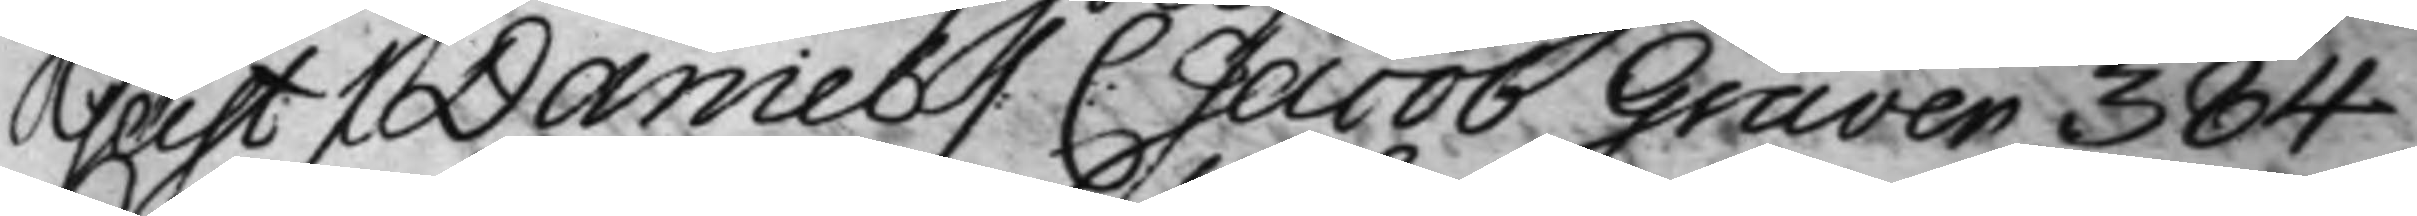Geist / Daniel / C: Jacob Graver 384
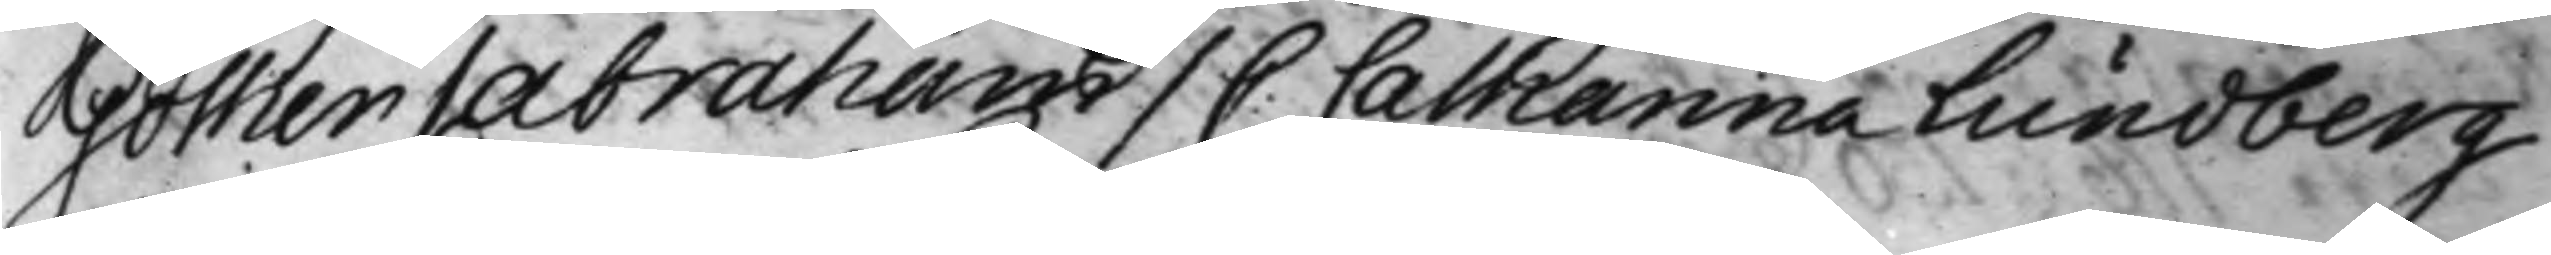Gother / Abraham / C: Catharina Lundberg
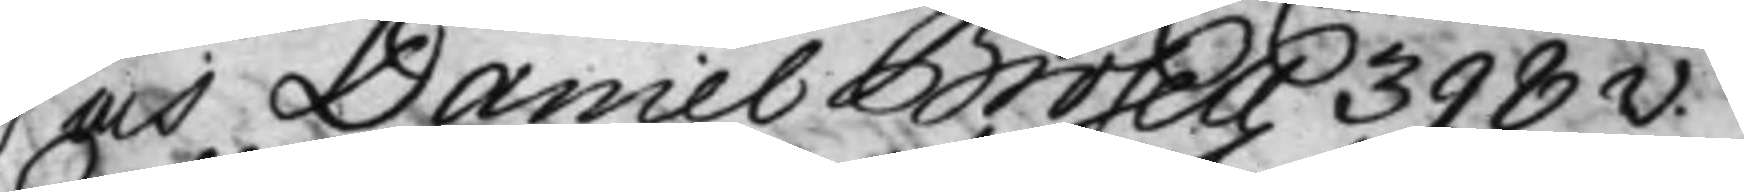och Daniel Brosell 398v.
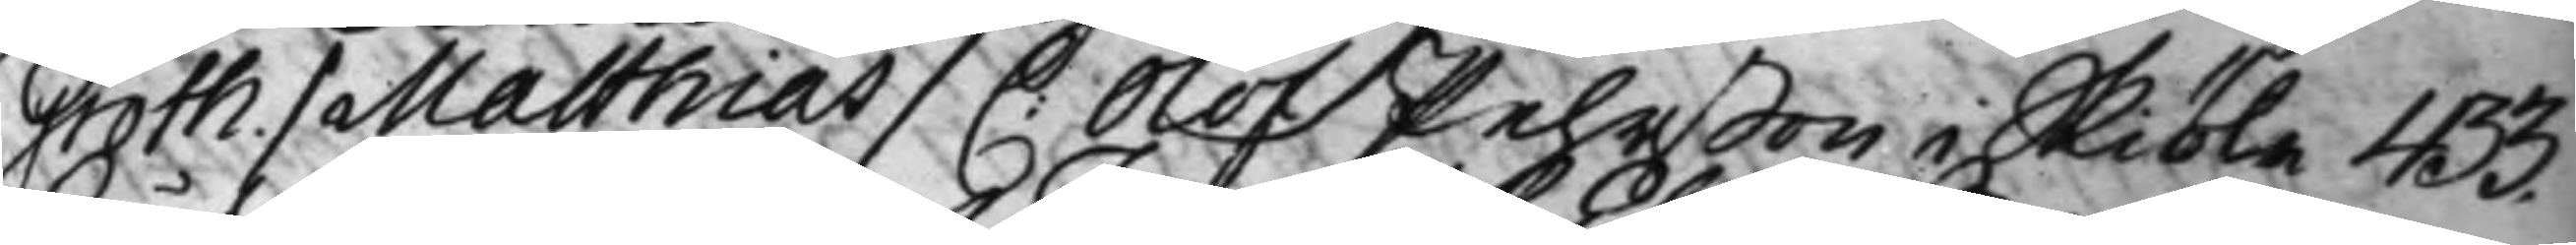Groth. / Matthias / C: Olof Pehrßon i Skiöla 433.
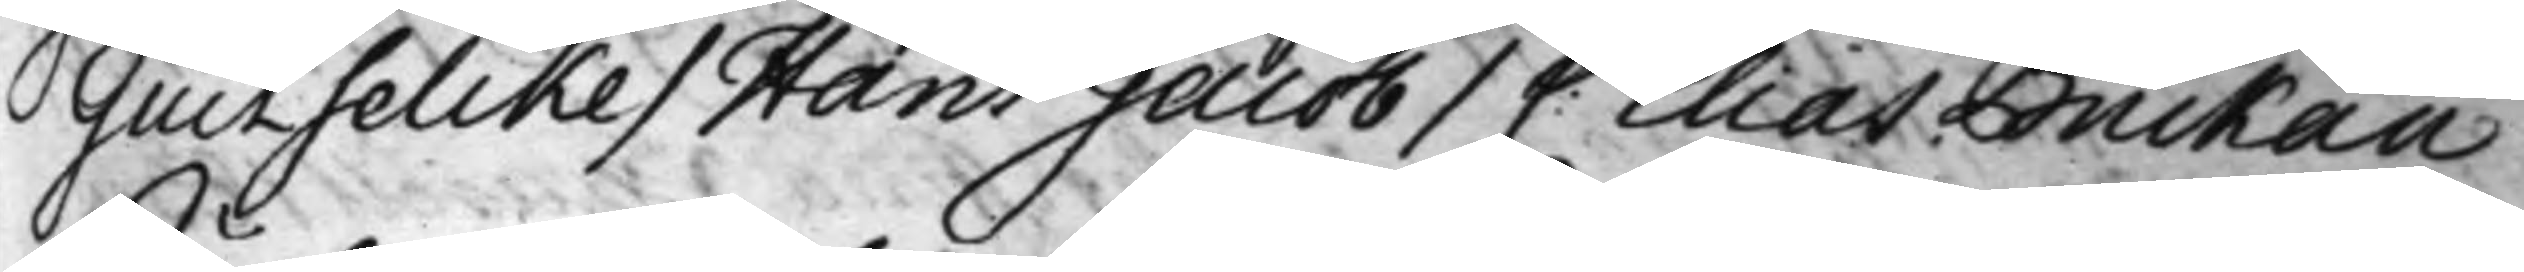Giutselcke / Hans Jacob / C: Elias Buckau
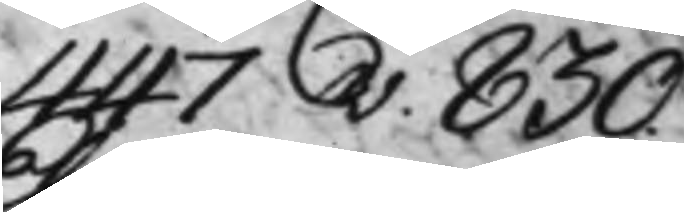447v. 830.
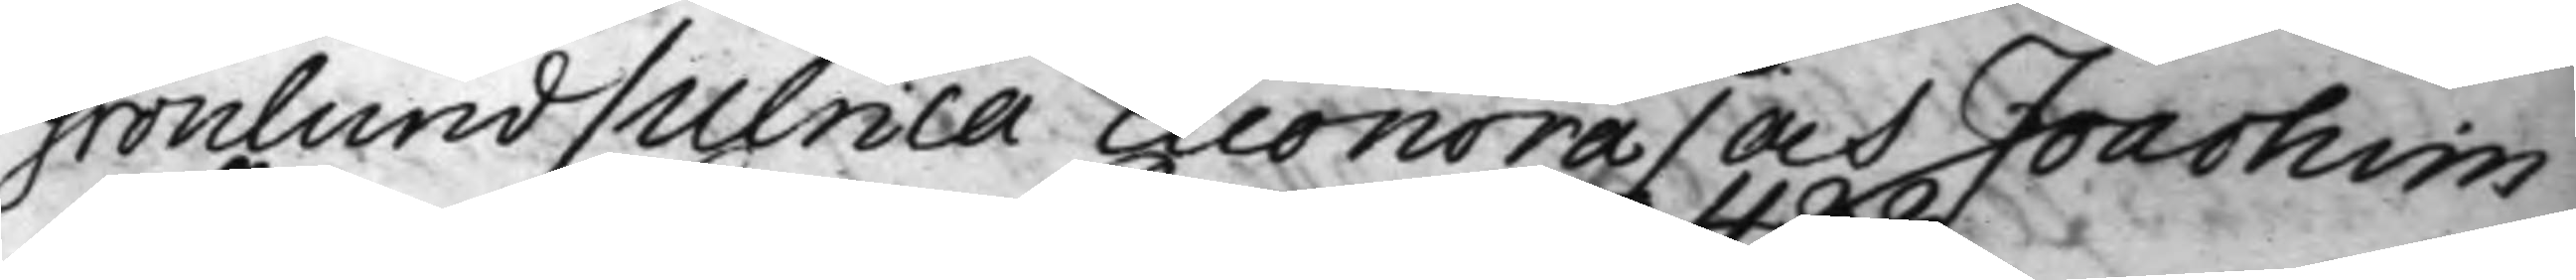Grönlund / Ulrica Eleonora / och Joachim
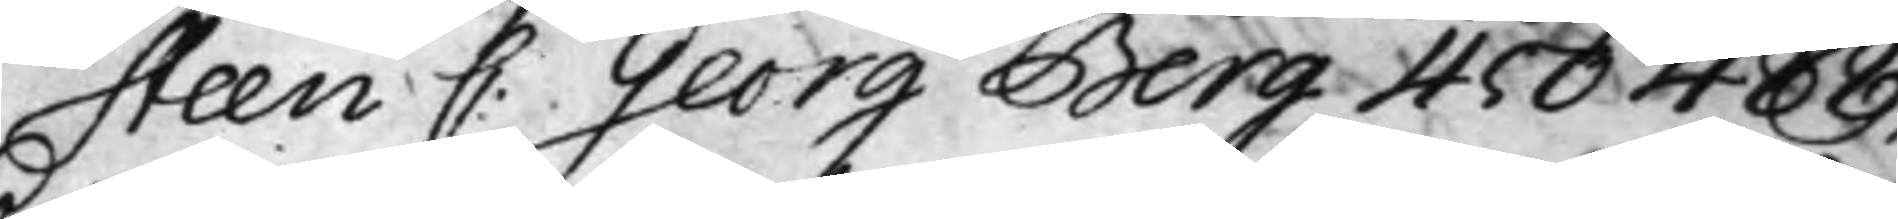Steen C: Georg Berg 450 488.
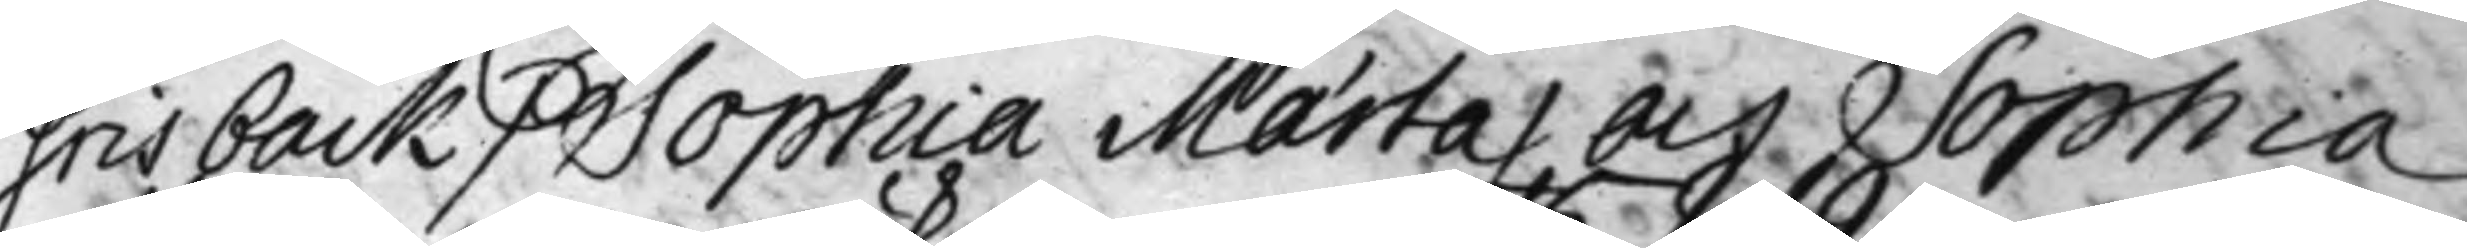Grisback / Sophia Mærta / och Sophia
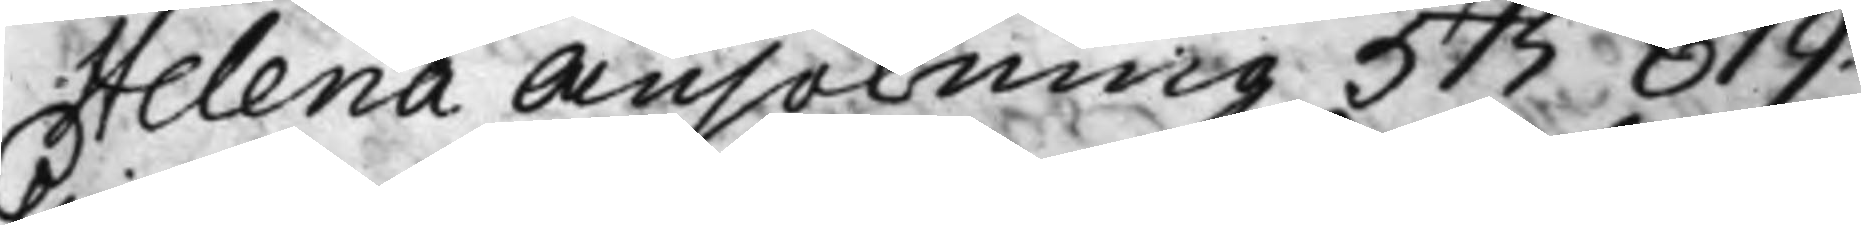Helena Ansökning 515 819.
